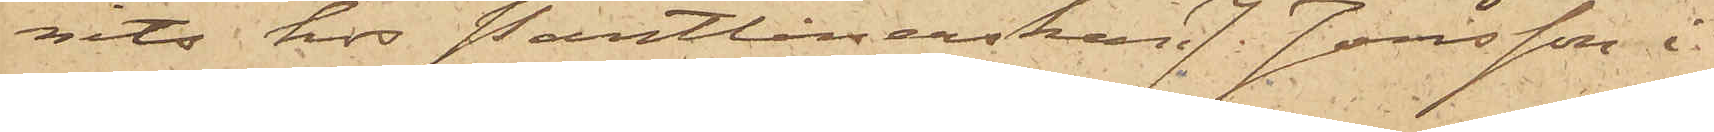nits hos Pantlånerskan J. Jonsson i
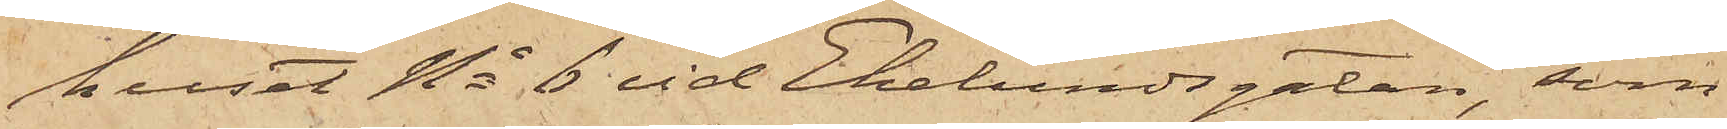huset No 6 vid Ekelundsgatan, som
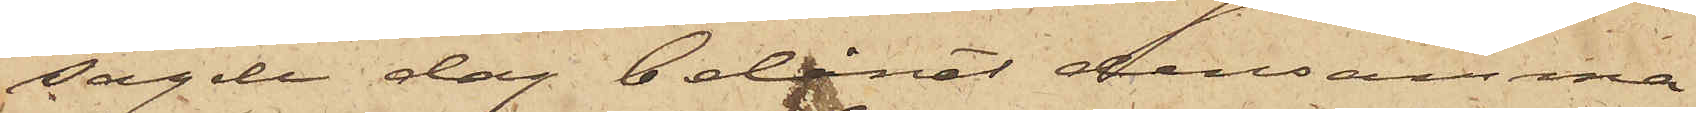sagde dag belånat densamma
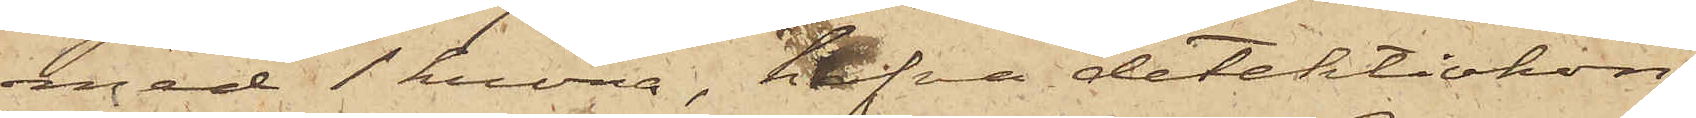med 1 krona, hafva detektivkon¬
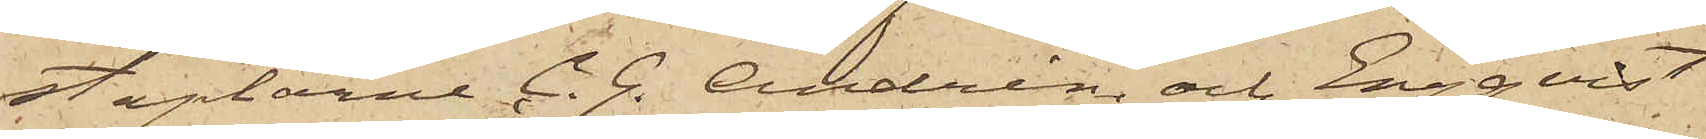staplarne C. G. Andrén och Engqvist
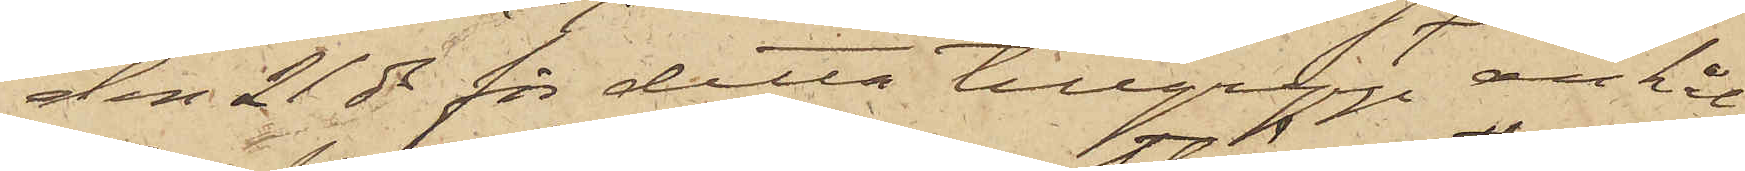den 21 ds för detta tillgrepp anhål¬
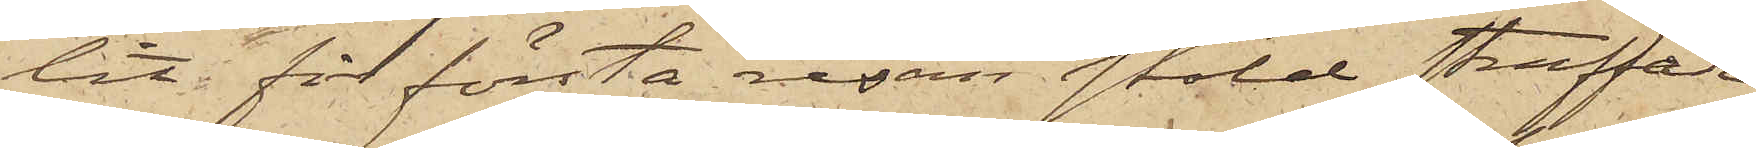lit för första resan stöld straffade
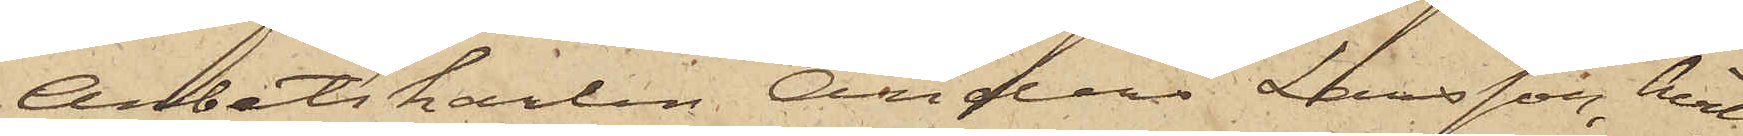Arbetskarlen Anders Larsson, hvil¬
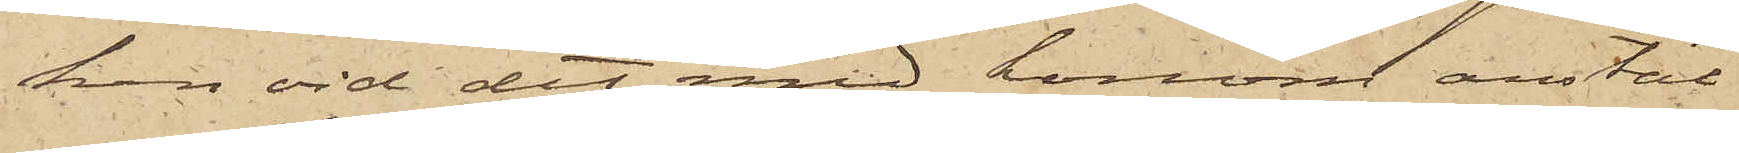ken vid det med honom anstäl¬
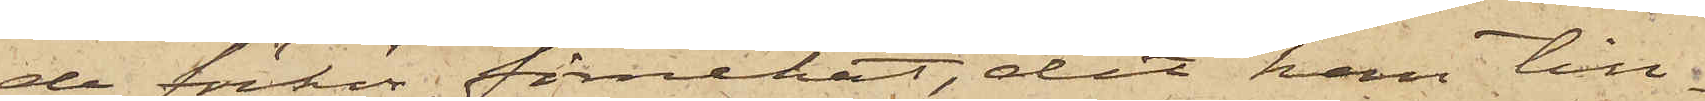de förhör förnekat, det han till¬
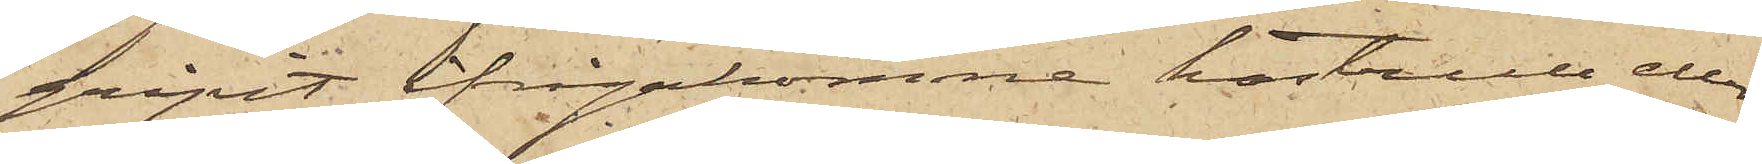gripit ifrågakomne kastrull eller
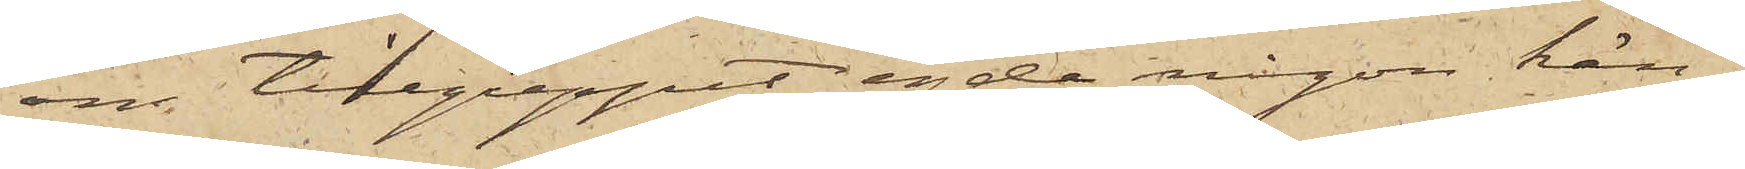om tillgreppet egde någon kän¬
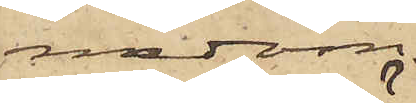nedom.
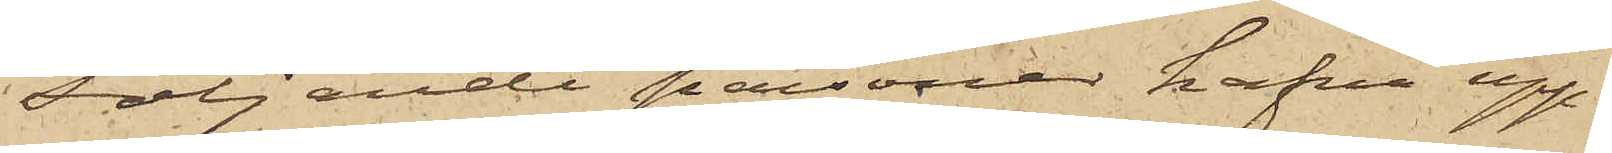Följande personer hafva upp¬
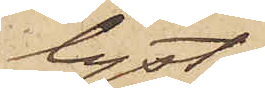lyst:
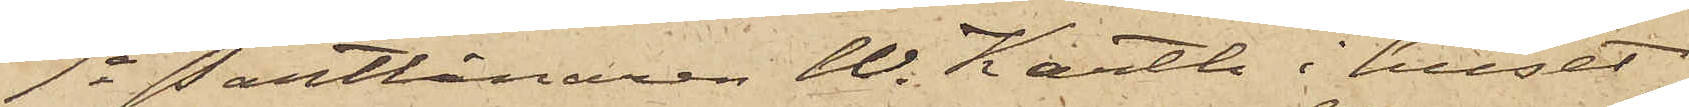1o Pantlånaren W. Karth i huset
